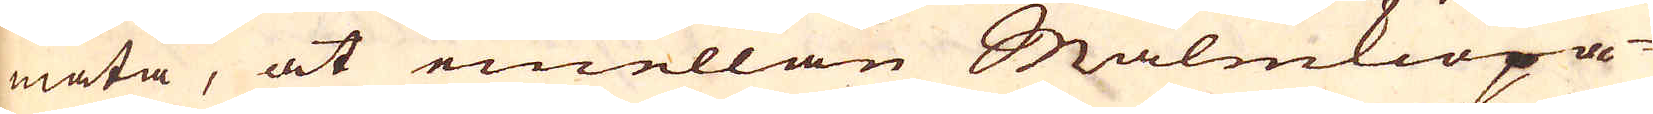mäta, at emellan Malmkiöpa-
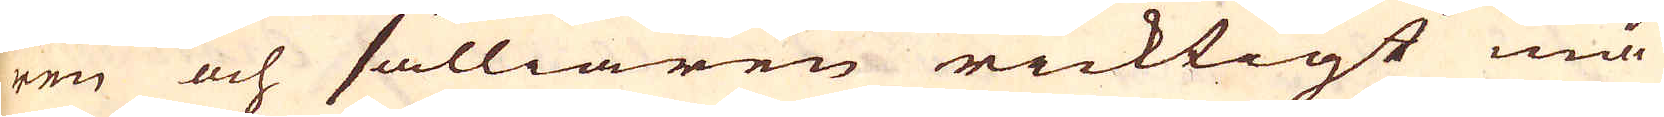ren och sälliaren ricktigt må
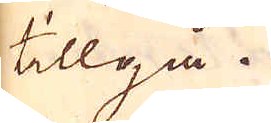tillgå.
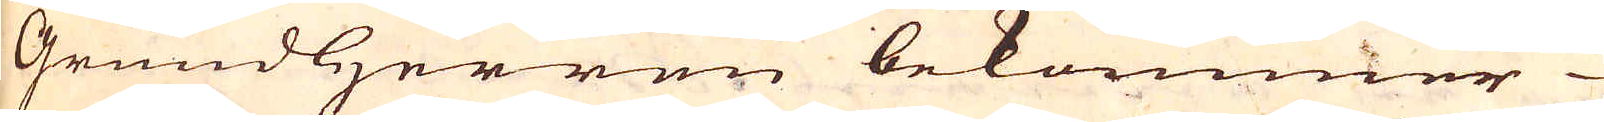Grundherren bekommer
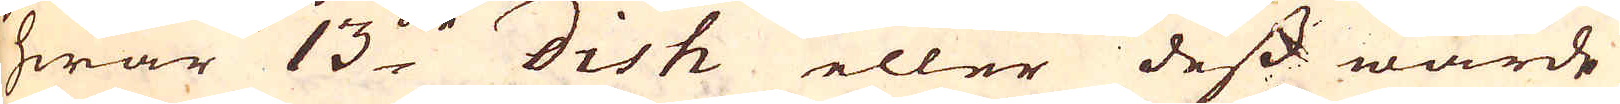hwar 13:de dish eller dess wärde
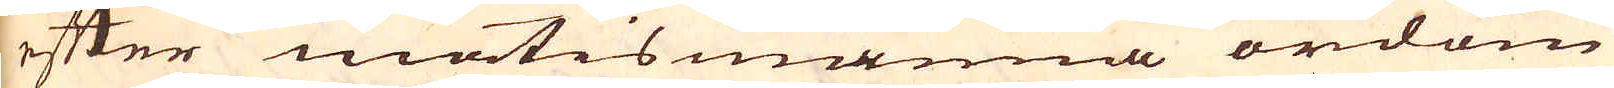efter mätismanna ordom
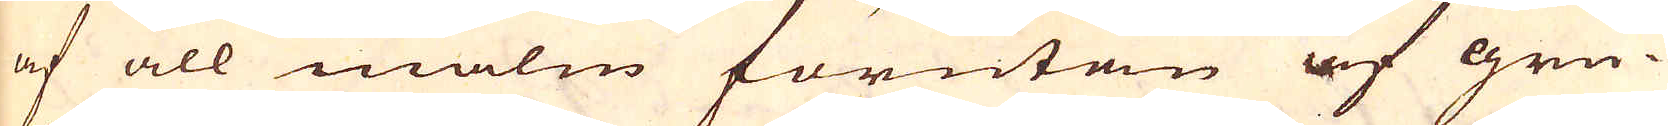af all malm förutan af gru-
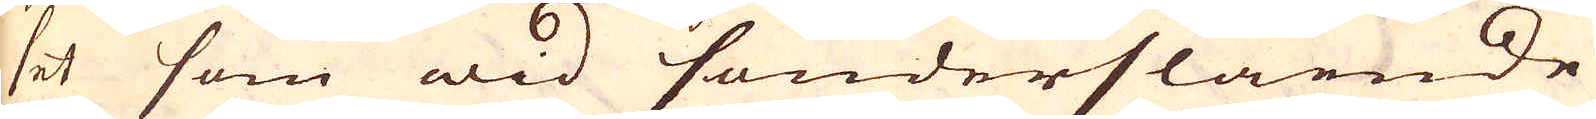set som wid sönderslående
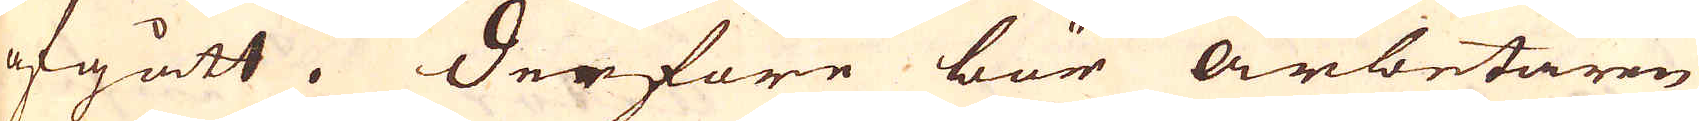afgått. Derföre bör Arbetaren
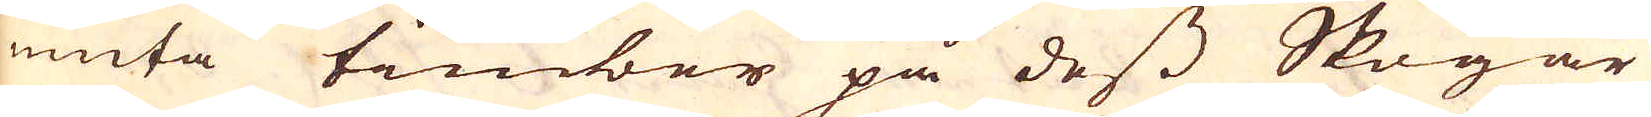niuta timber på dess Skogar
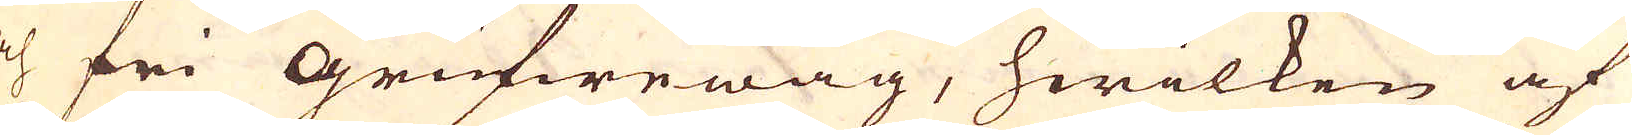och fri Grufwewäg, hwilken af
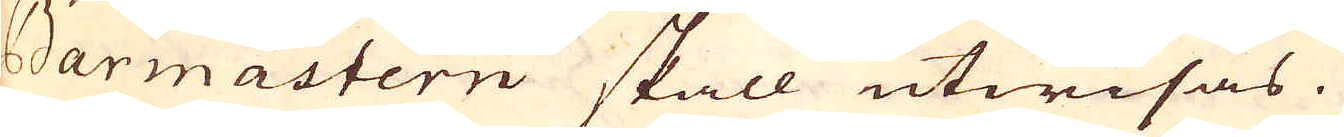Barmastern skall utwisas.
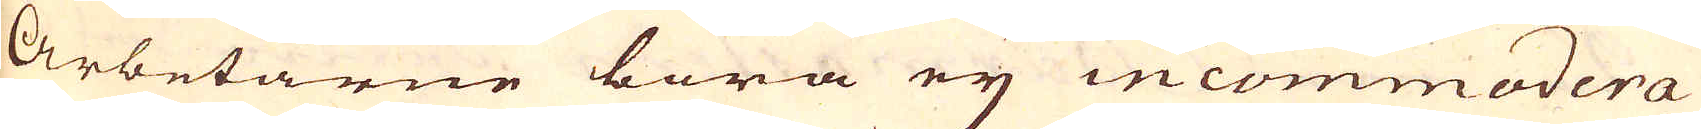Arbetarne böra ey incommodera
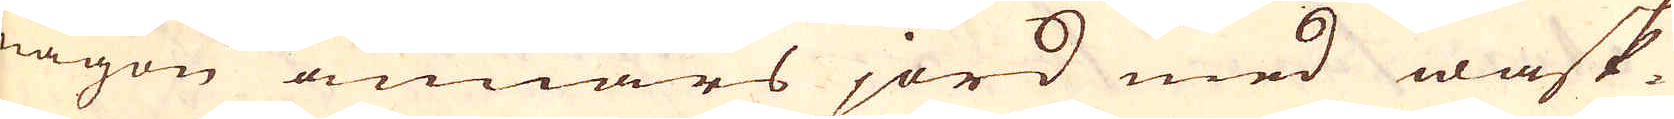någon annars jord med wask-
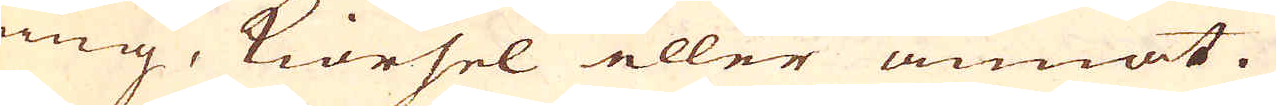ning, Kiörsel eller annat.
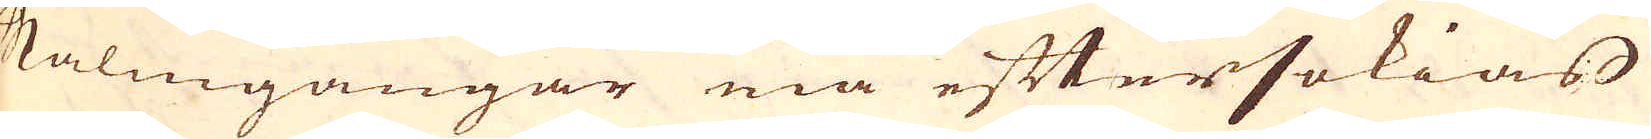Malmgångar må eftersökias
